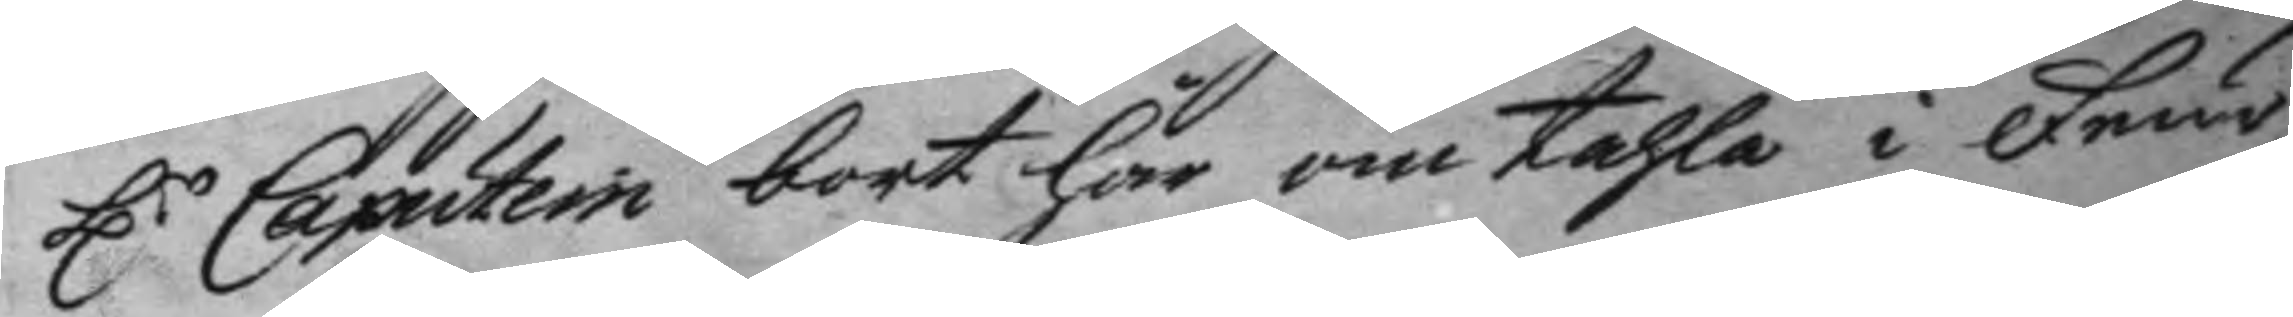H.r Caputein bort här om tahla i Feir¬
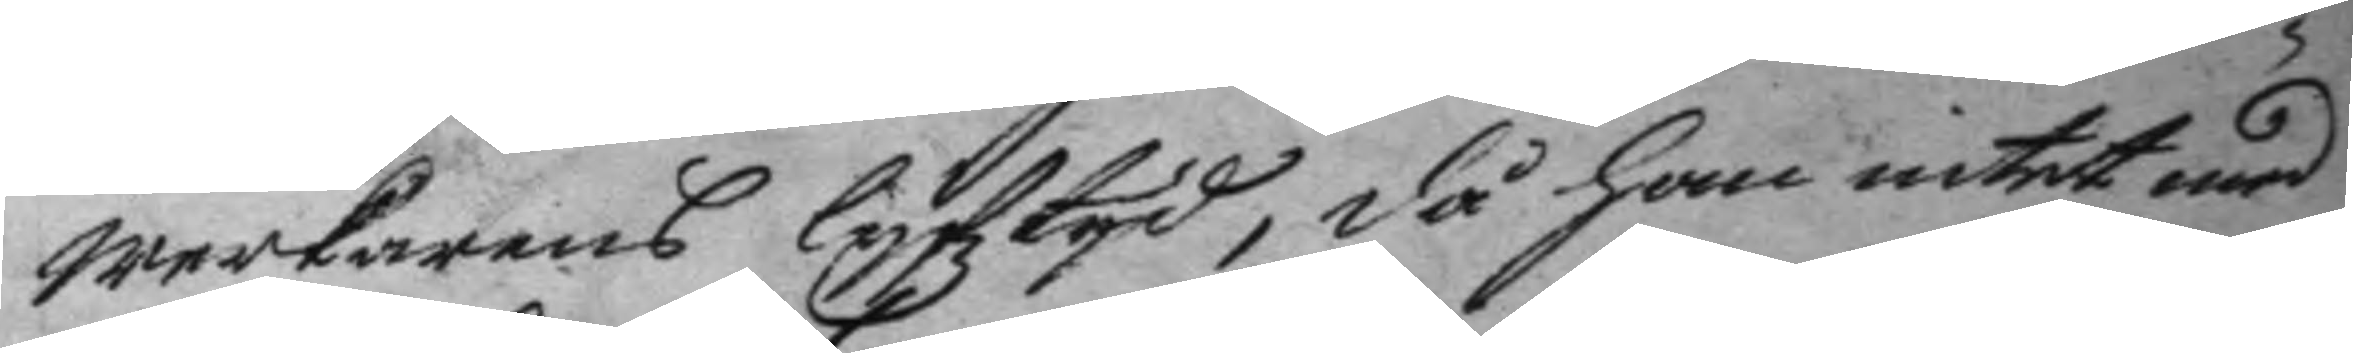werkarens lyfztyd, då han intet med
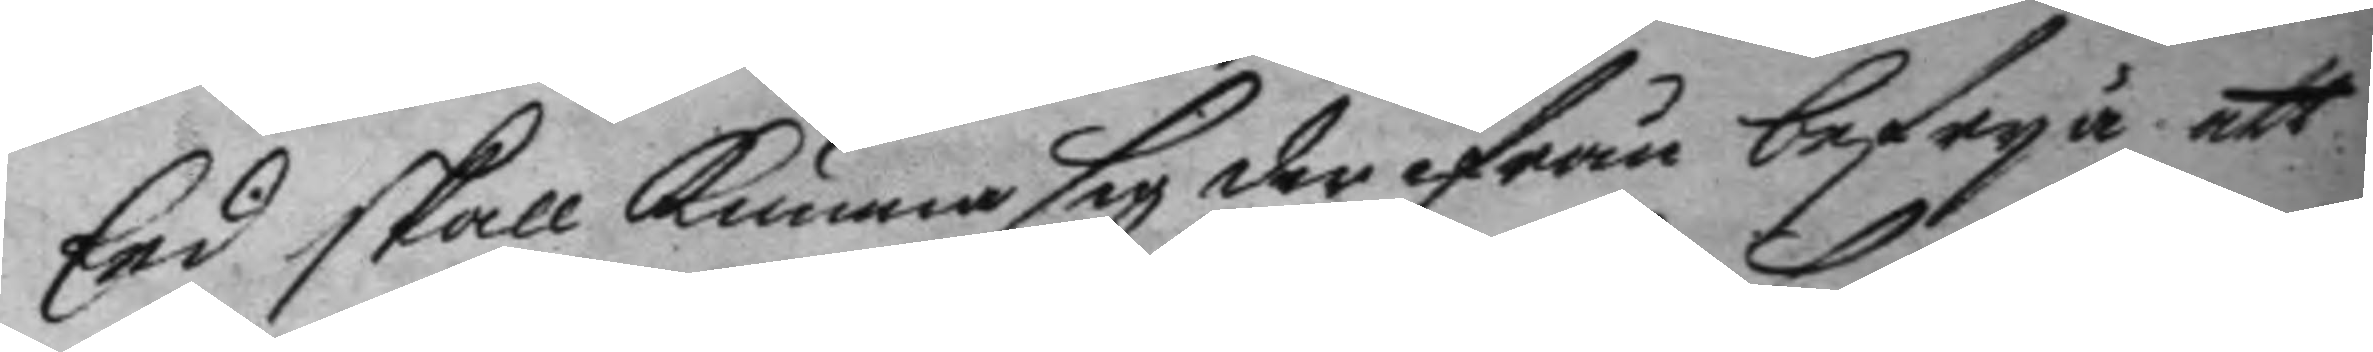Eed skall kunna sig der ifrån befrya att
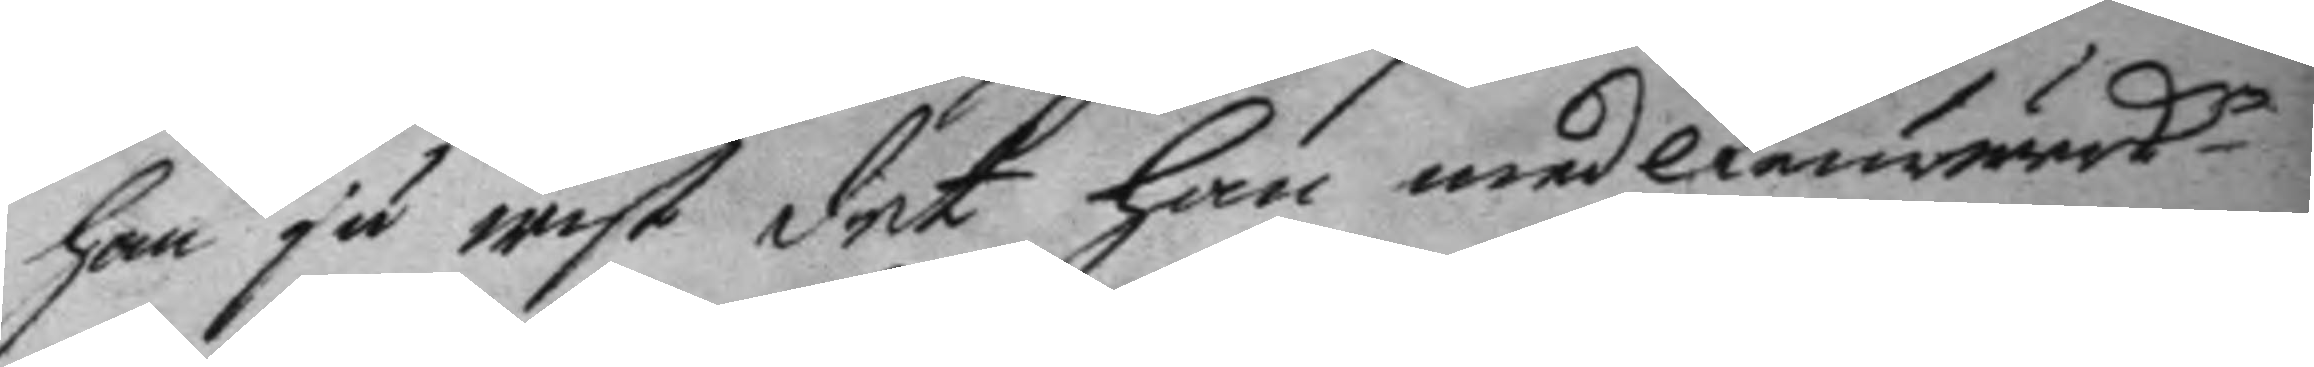han ju wist det han med Feurwerkn
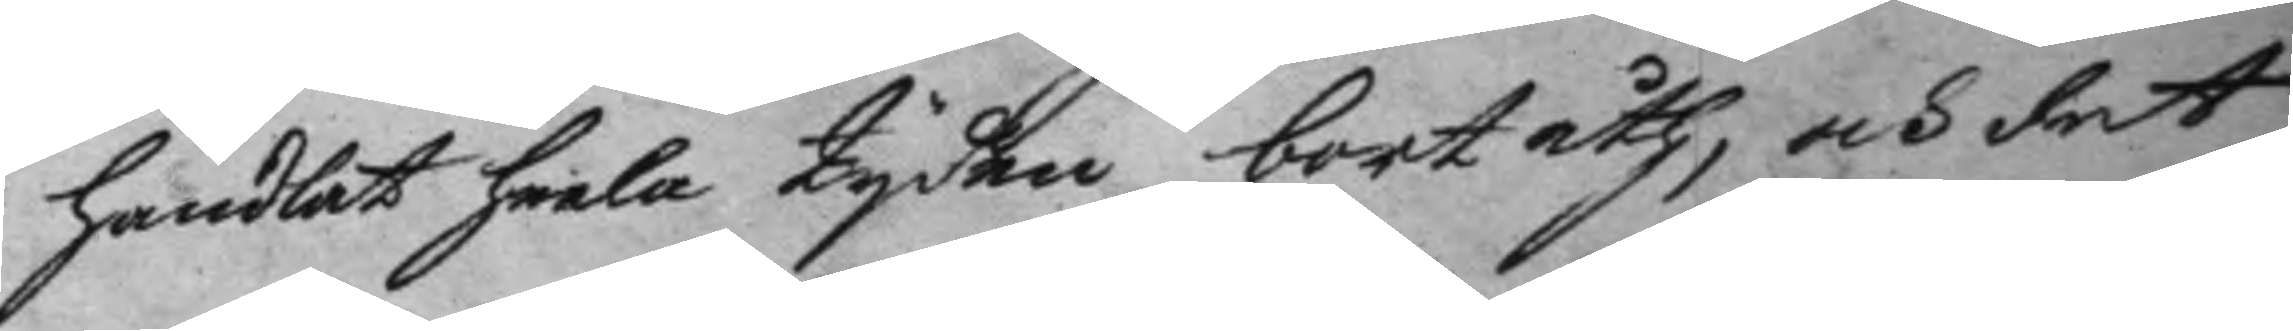handlat heela tyden bortåth, och det
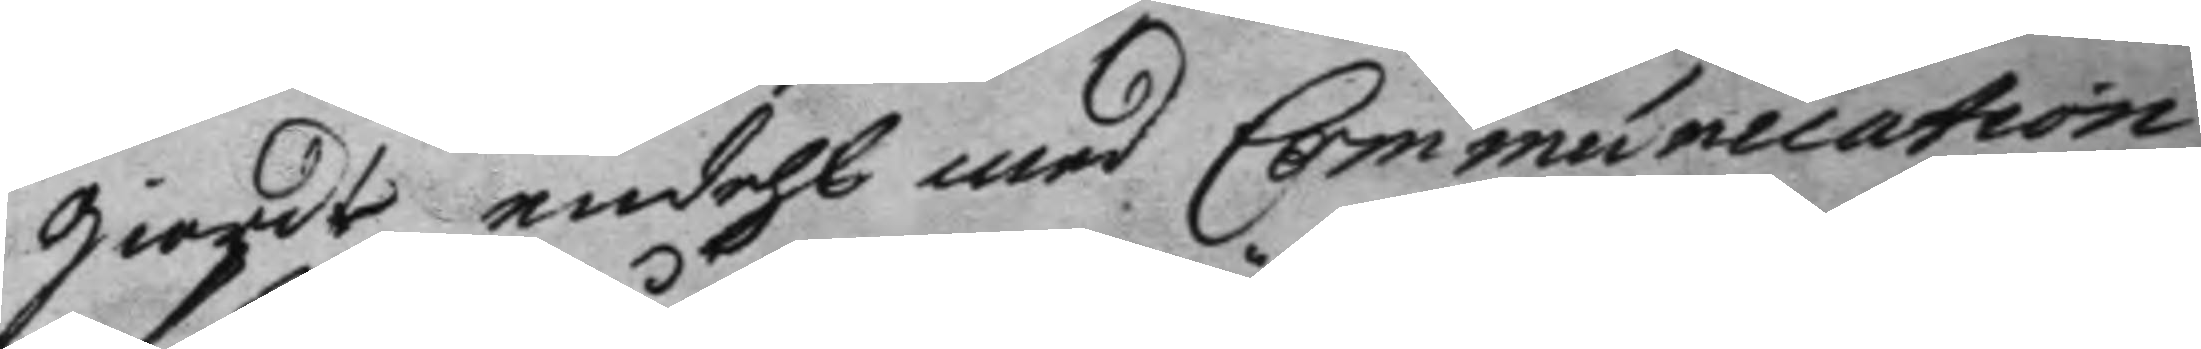giordt endehl med Communillation
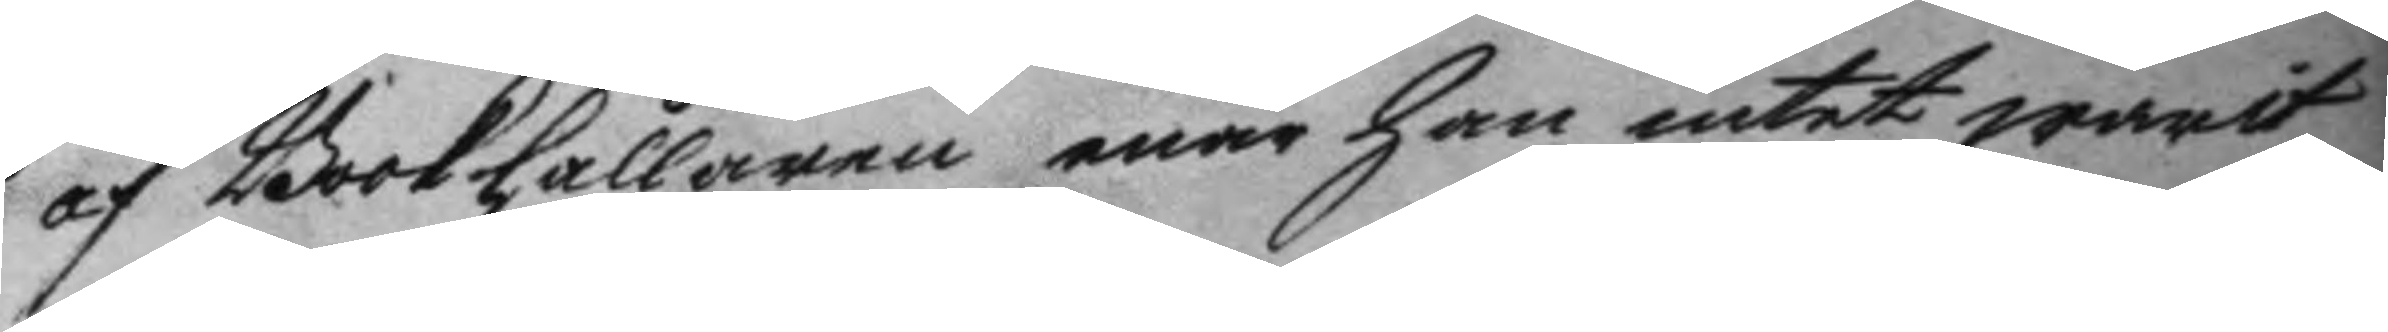af Bookhållaren enär han intet warit
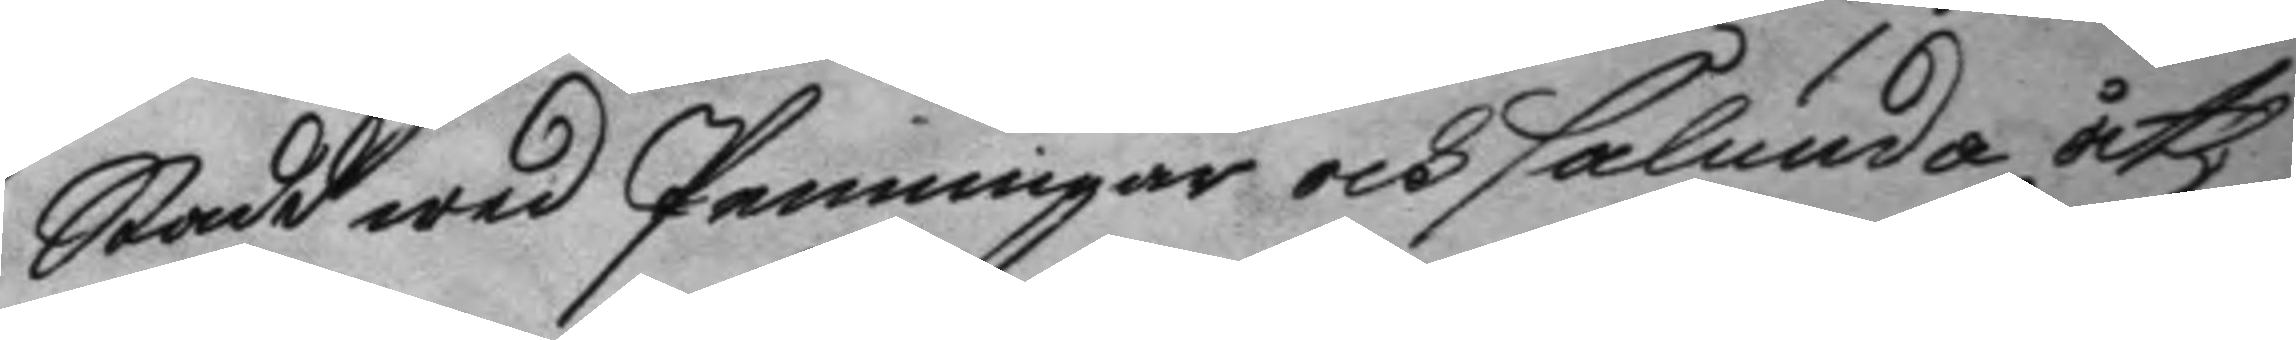Stadd wed Penningar och sålunda åth¬
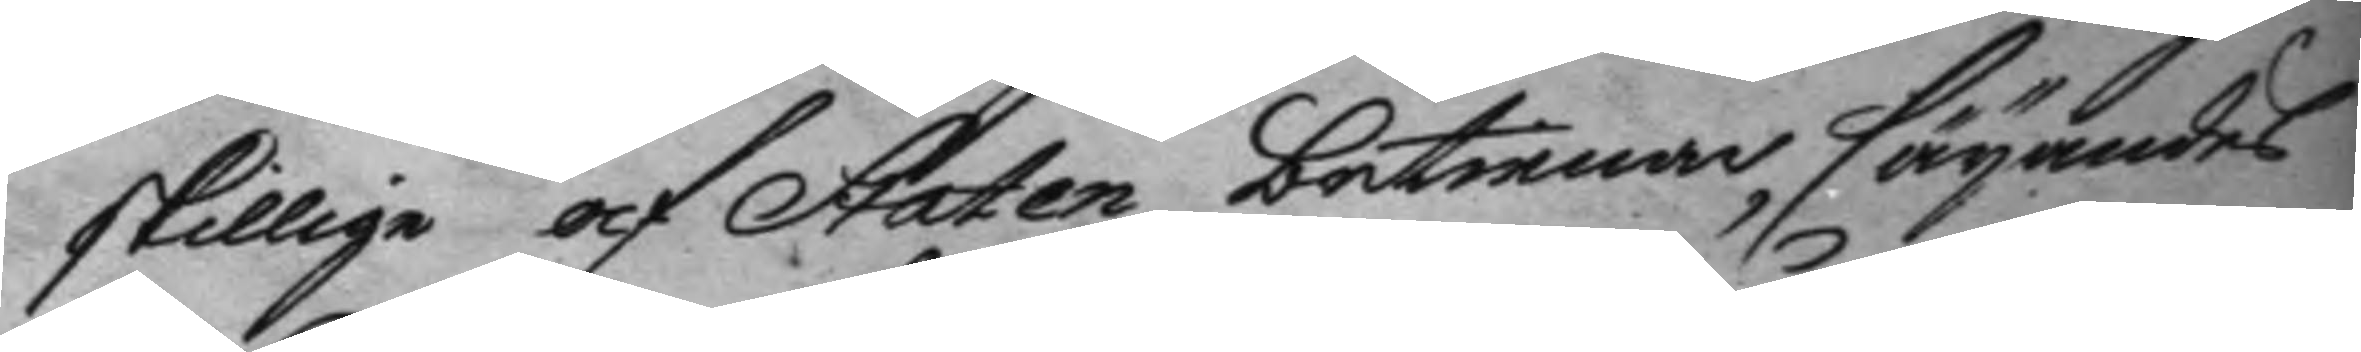skillige af Staten bortinnar säyandes
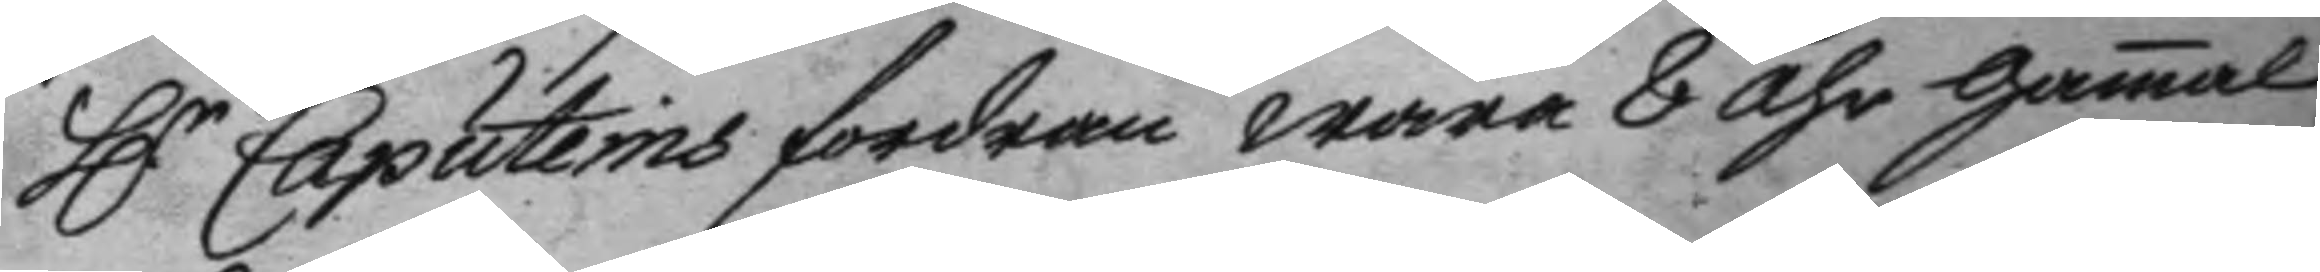Hr Caputeins fordran wara 8 åhr gamal
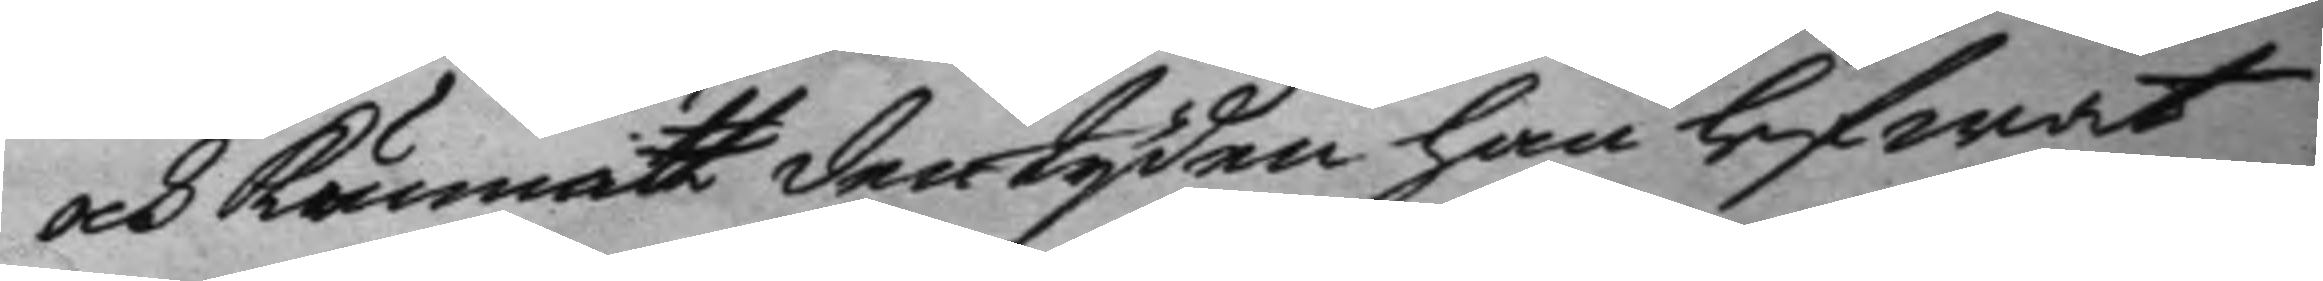och kunnat den tyden han lefwat
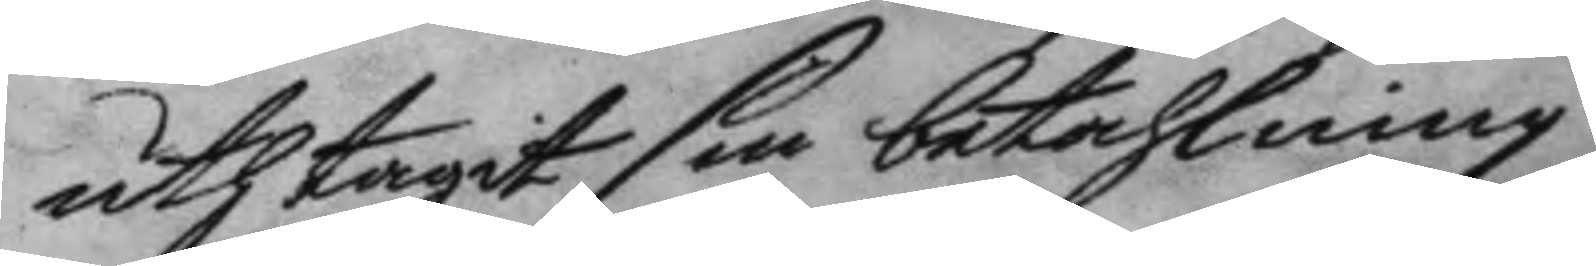uth tagit sin betahlning.
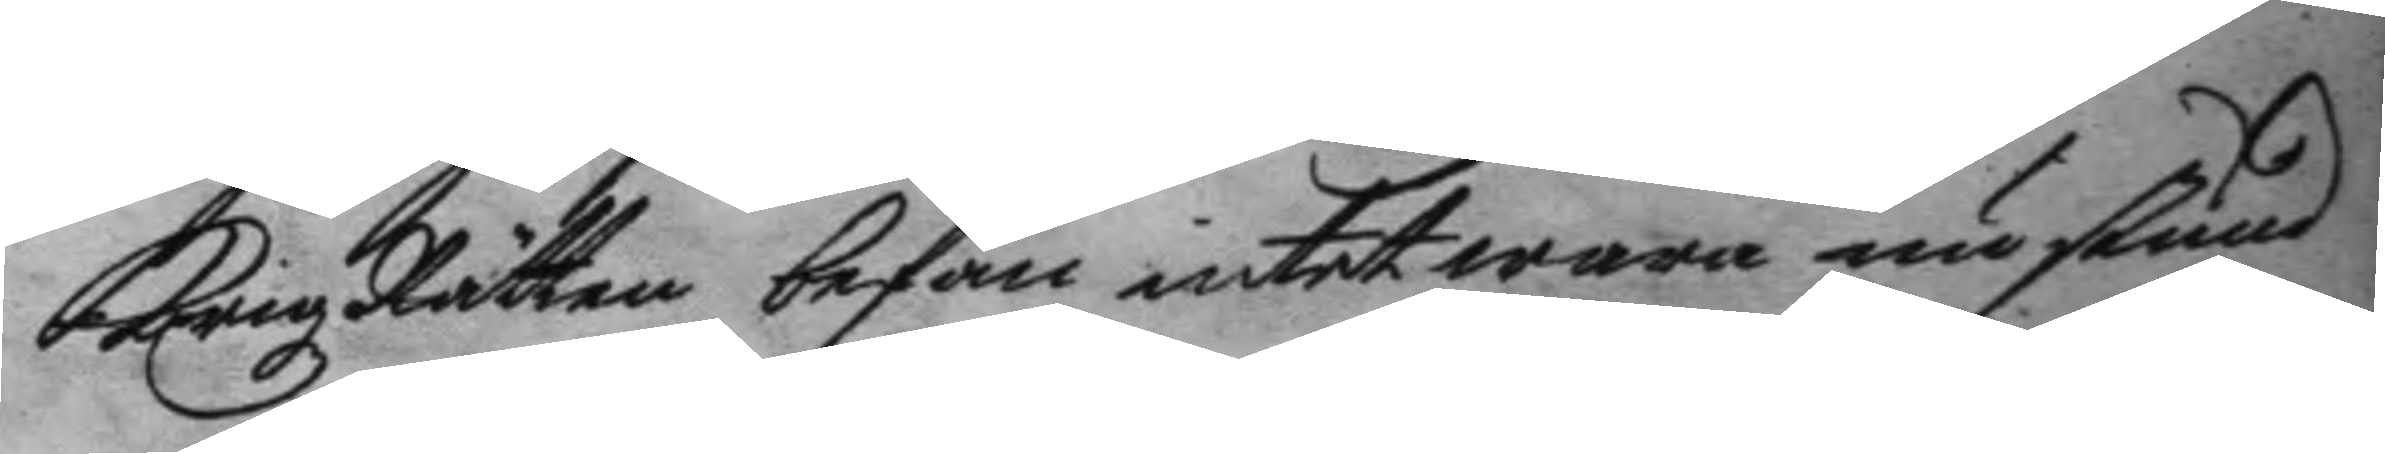Krigz Rätteen befan intet wara nu stund
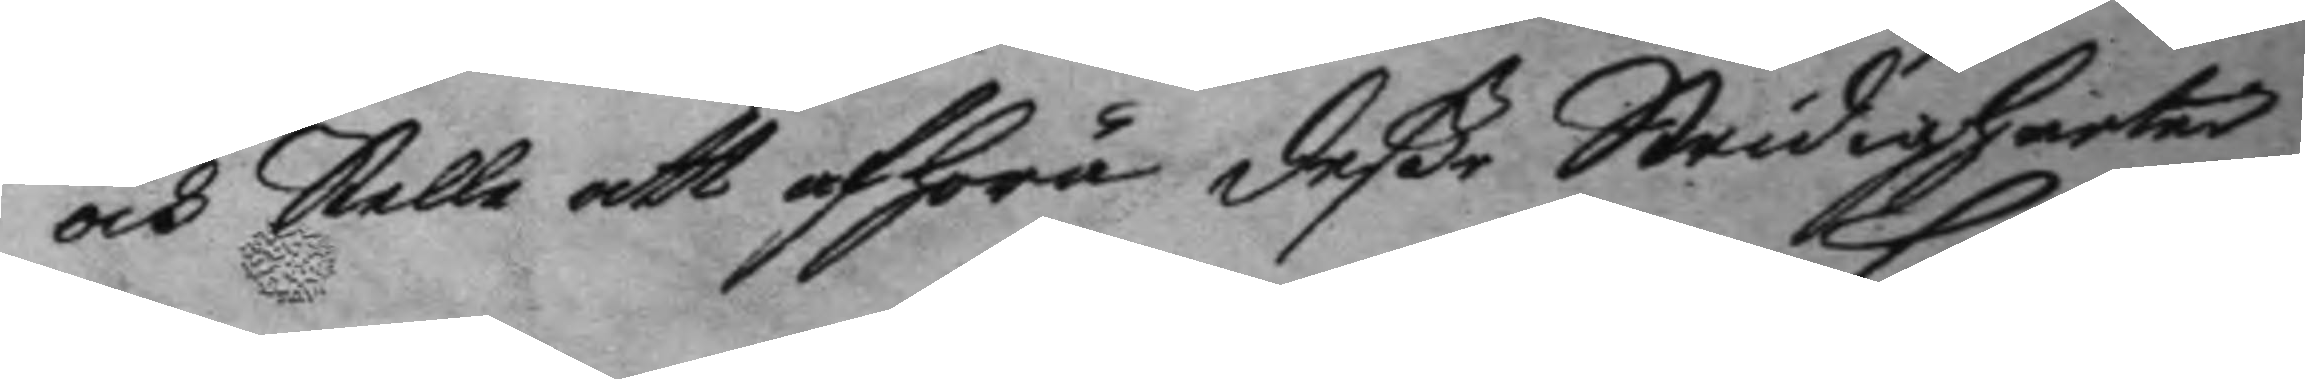och Stelle att afhöra dee Stridigheter
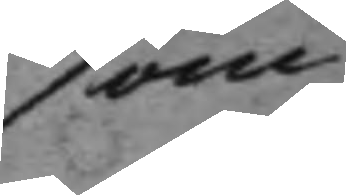som                       
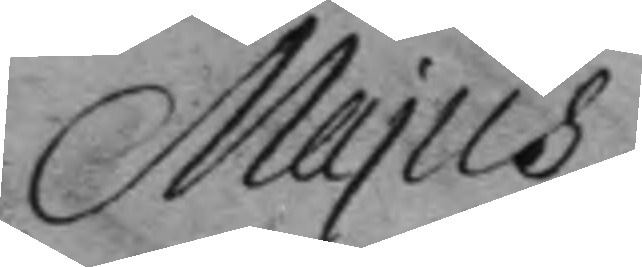Majus
